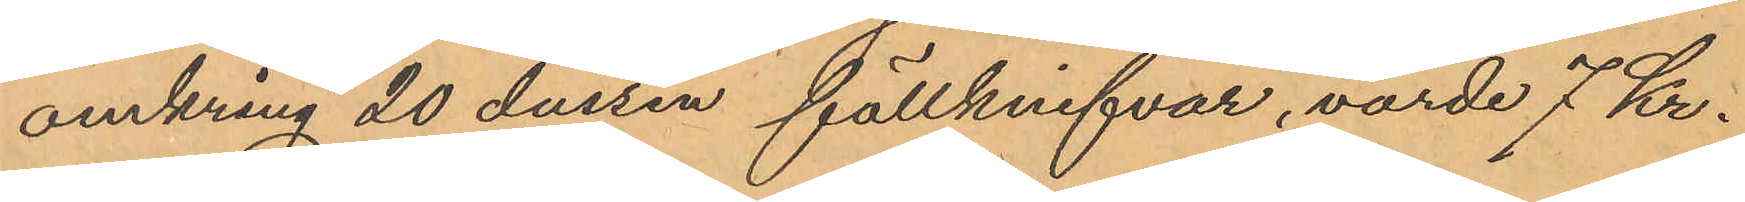omkring 20 dussin fällknifvar, värde 7 Kr.
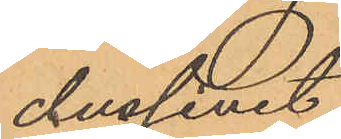dussinet
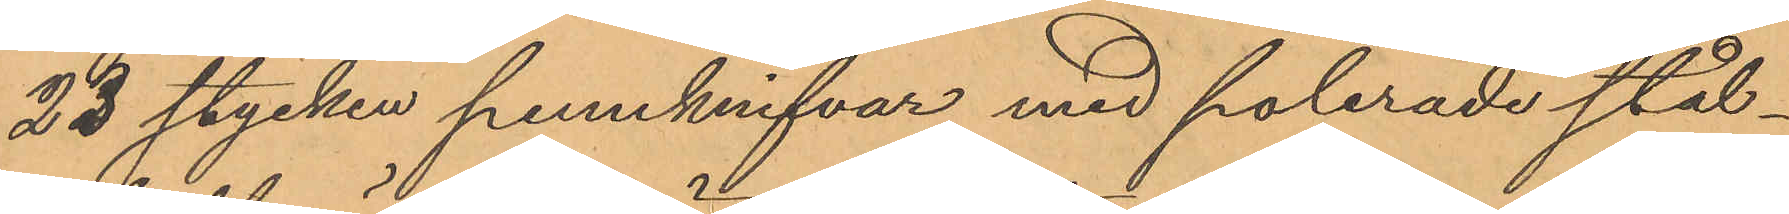23 stycken pennknifvar med polerade stål¬
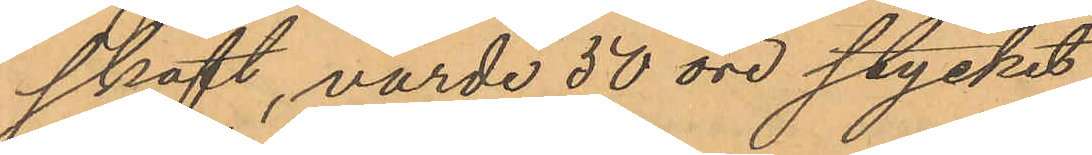skaft, värde 50 öre stycket,
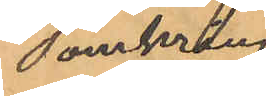omkring
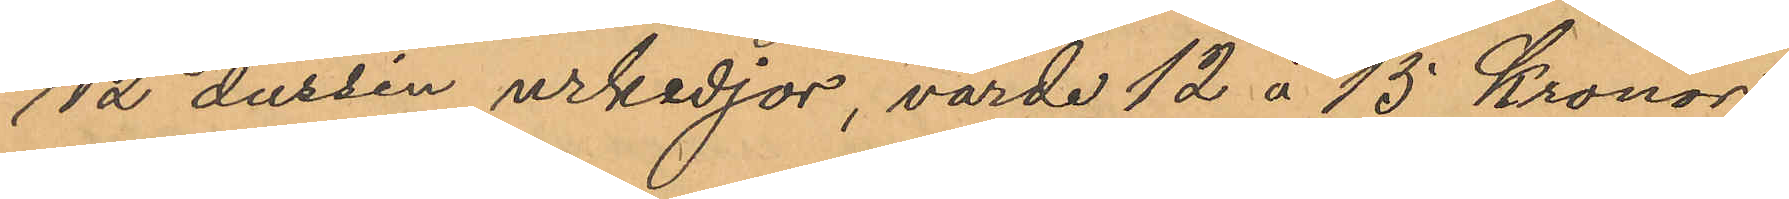12 dussin urkedjor, värde 12 á 15 Kronor
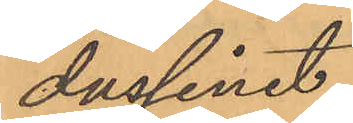dussinet,
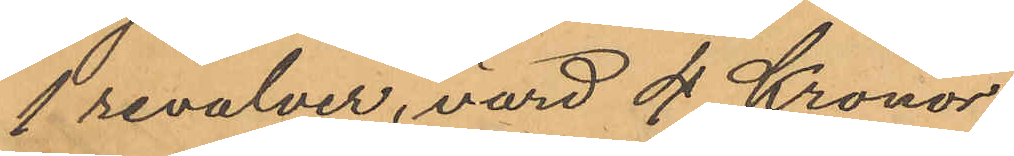1 revolver, värd 4 Kronor,
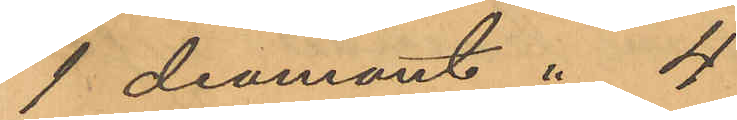1 diamant " 4
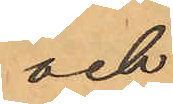och
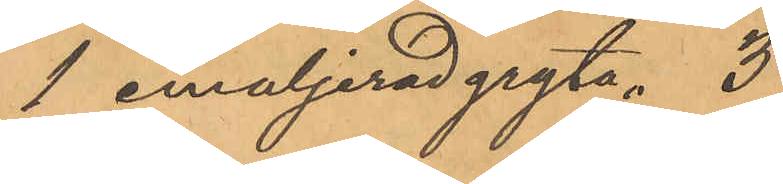1 emaljerad gryta " 3
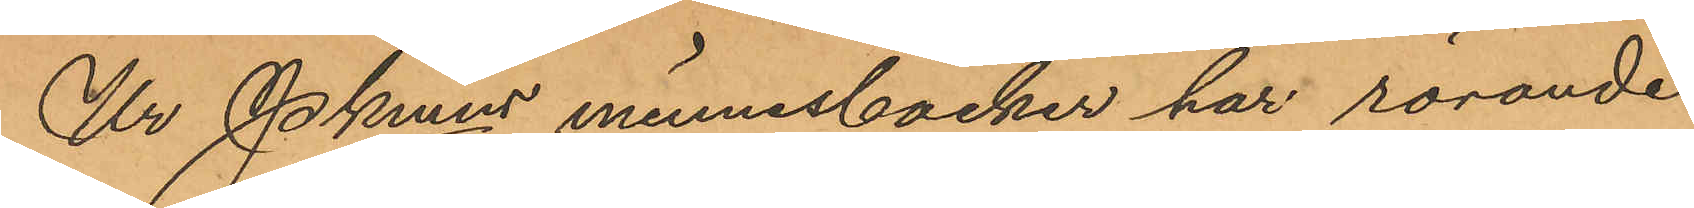Ur Pkmns minnesböcker har rörande
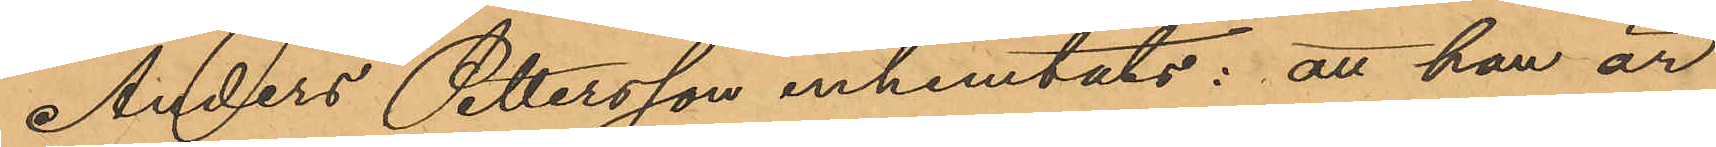Anders Pettersson inhemtats: att han är
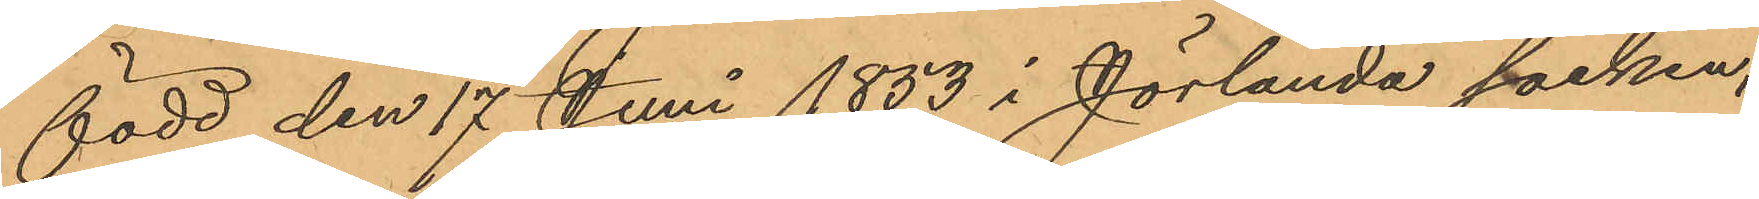född den 17 Juni 1853 i Jörlanda socken,
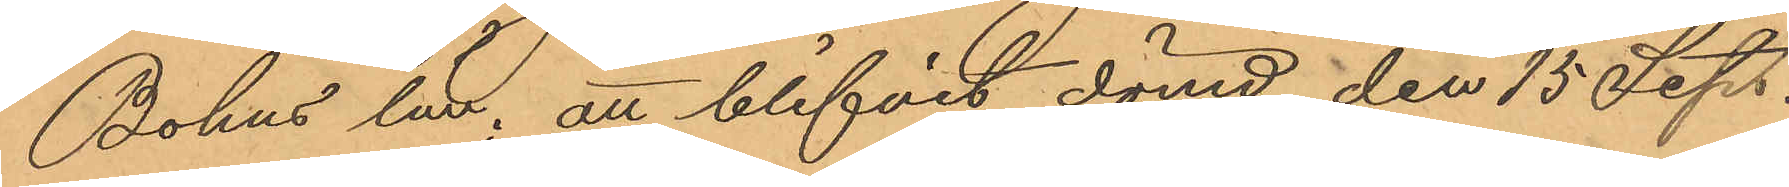Bohus län; att blifvit dömd den 15 Sep.
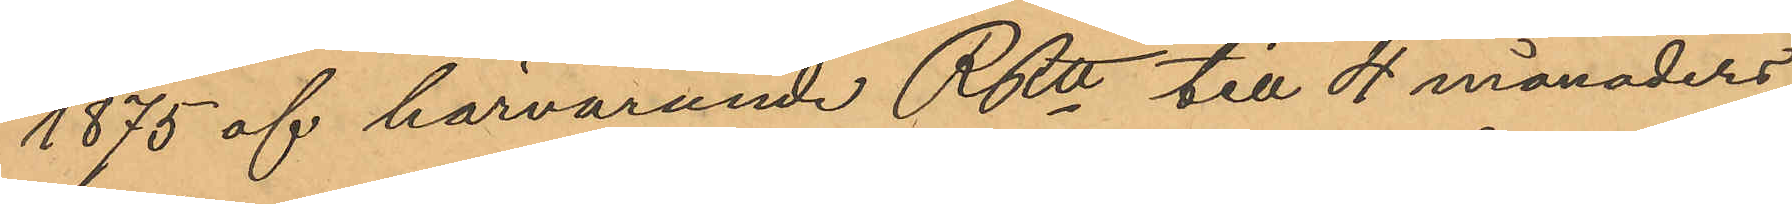1875 af härvarande RRtt till 4 månaders
